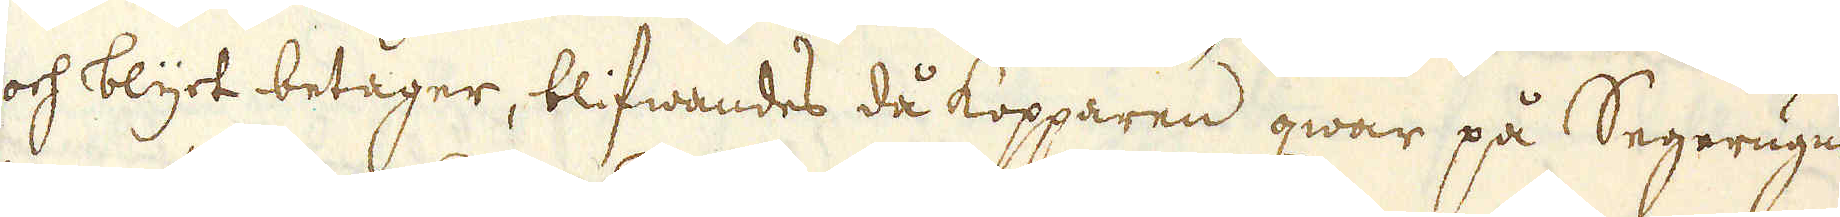och blyt betager, blifwandes då kopparen qwar på Segerugnen
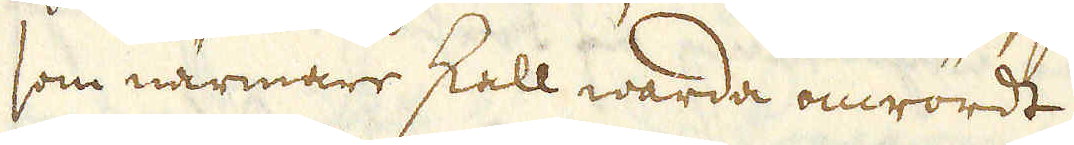som närmare skall warda omrördt.
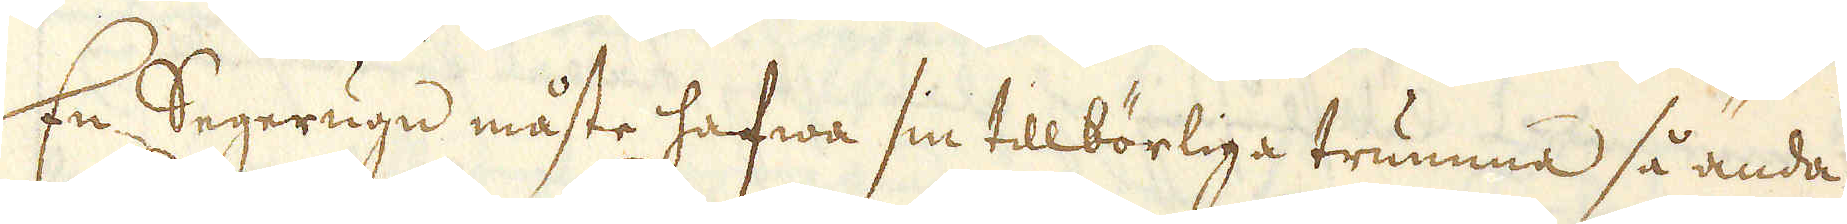En Segerugn måste hafwa sin tillbörliga trumma så ända
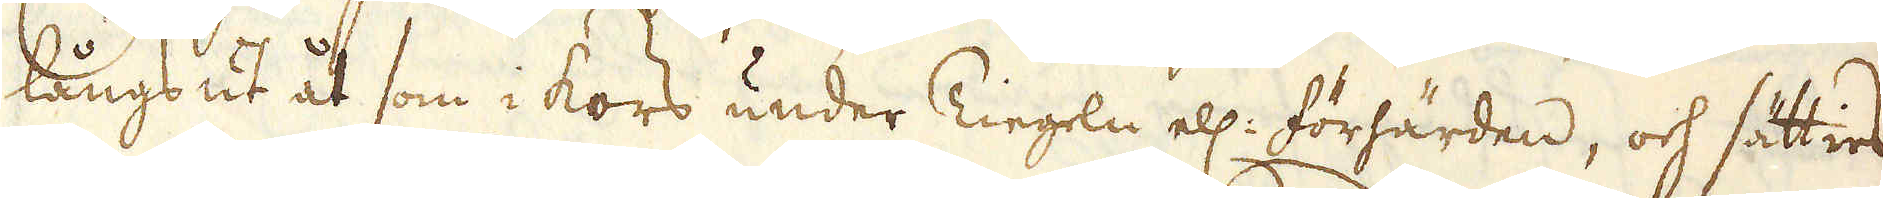längs ut åt som i kors under Tiegeln ell: förhärden, och sätties
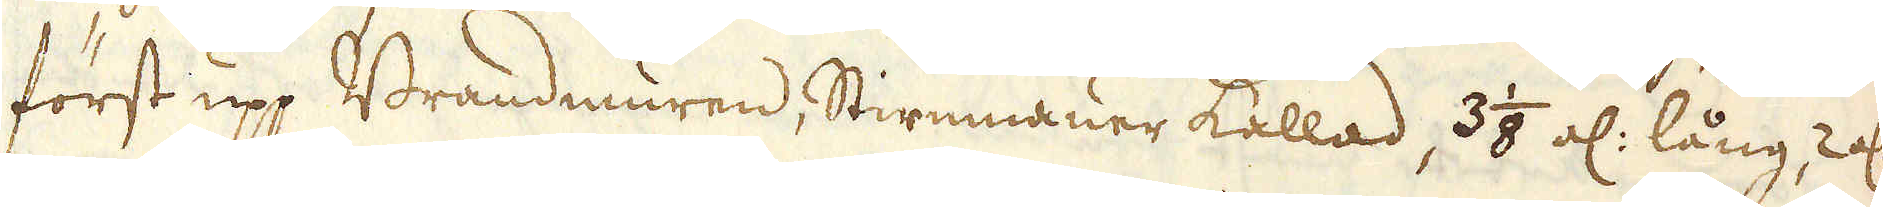först upp Brandmuren, Stirnmauer kallad, 3 1/8 al: lång, 2 al:
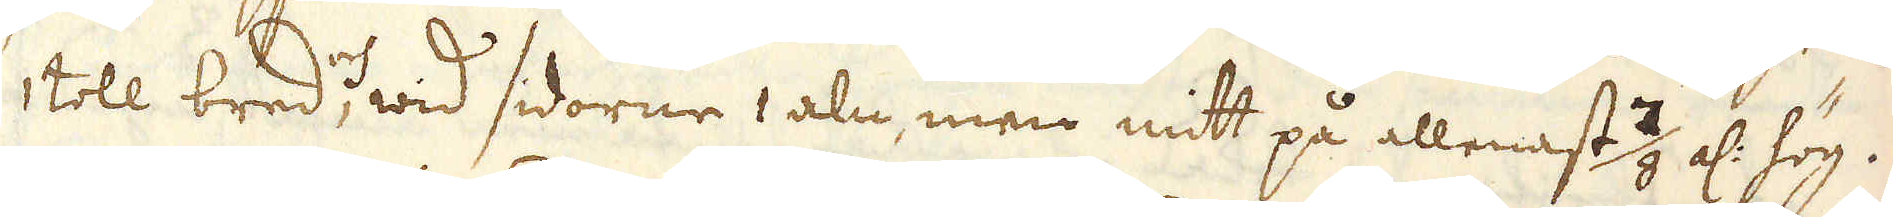1 toll bred, och wid sidorne 1 aln, men mitt på allenast 7/8 al: hög.
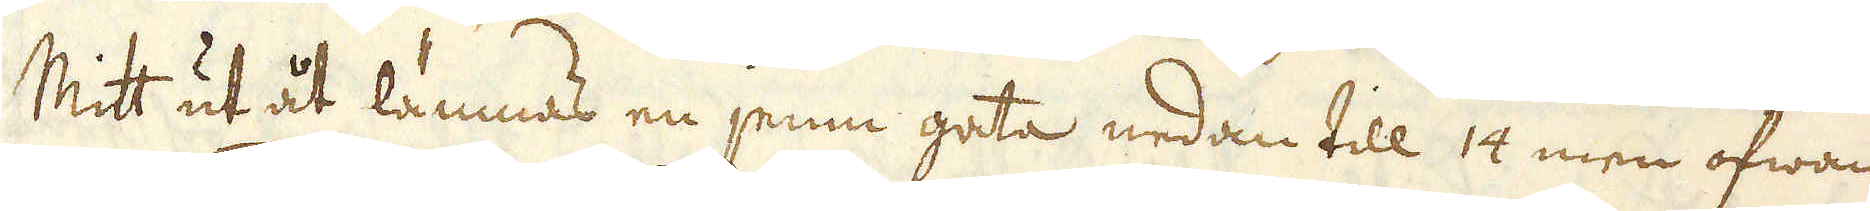Mitt ut åt lämnas en jemn gata nedan till 14 men ofwan
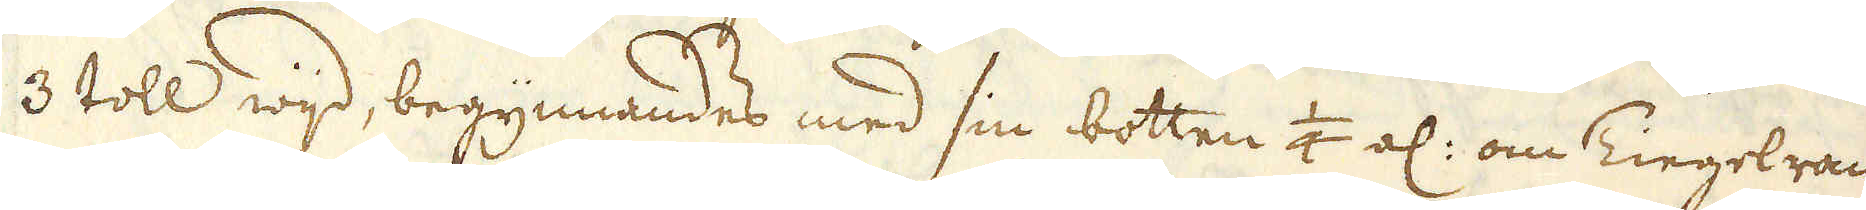3 toll wijd, begynnandes med sin botten 1/4 al: om Tiegelran-
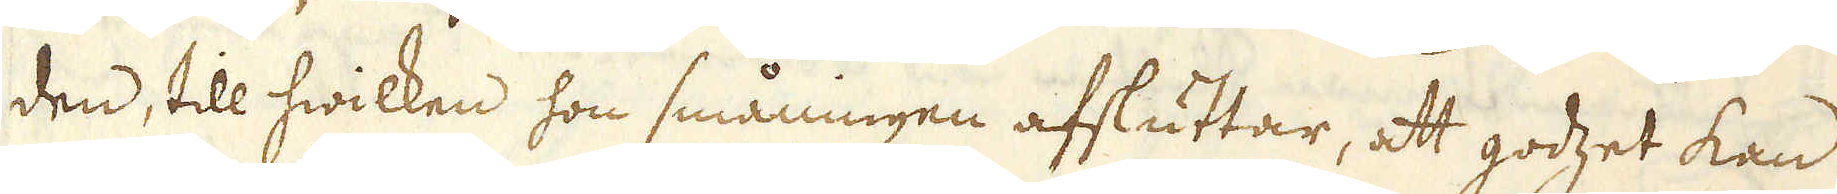den, till hwilken hon småningen afsluttar, att godzet kan
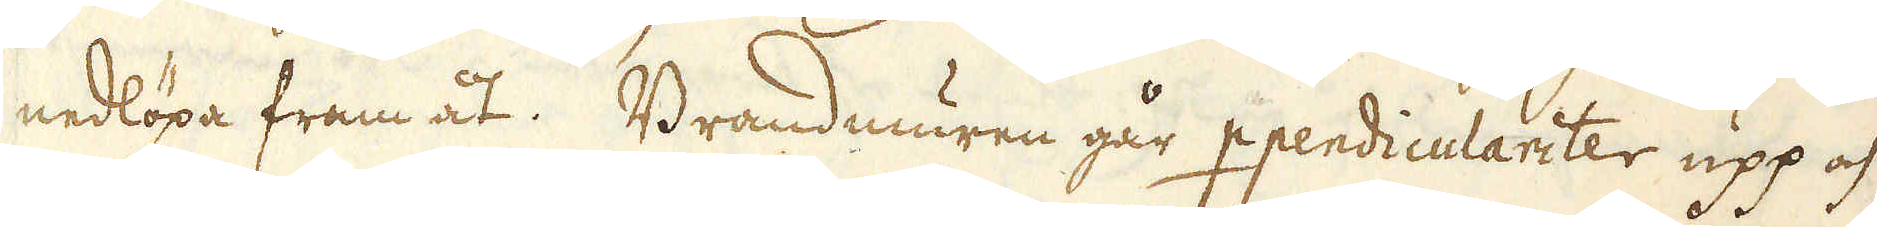nedlöpa fram åt. Brandmuren går ppendiculariter upp och
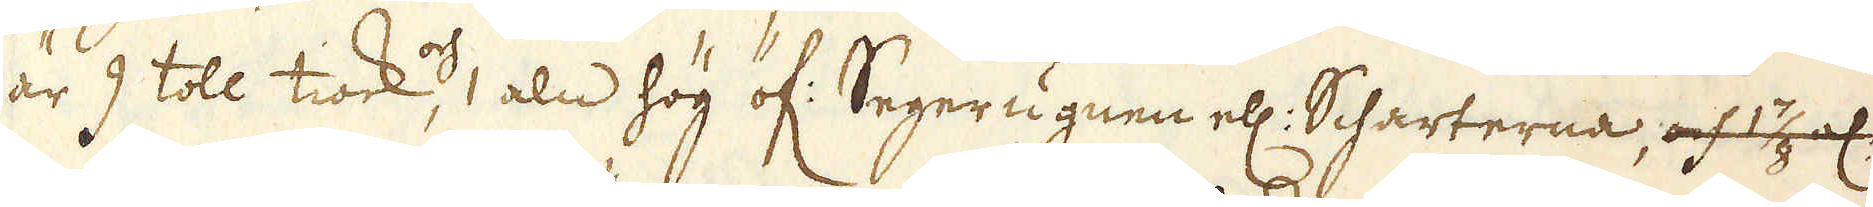är 9 toll tiock, och1 aln hög öf: Segerugnen ell: Scharterna, och 1 7/8 el:
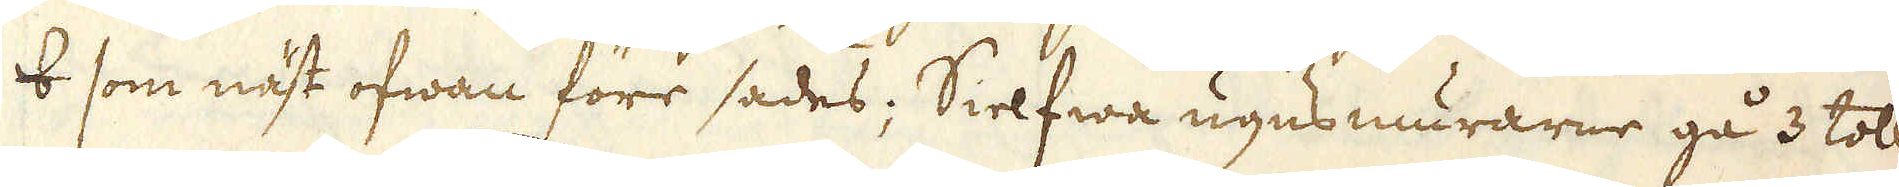8 som näst ofwan före sades; Sielfwa ugnsmurarne gå 3 toll
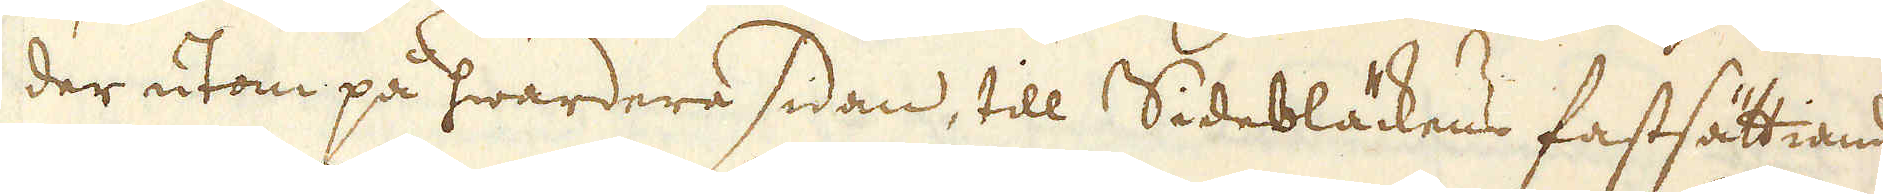der utom på hwardera sidan, till Sidebläckens fastsättiande
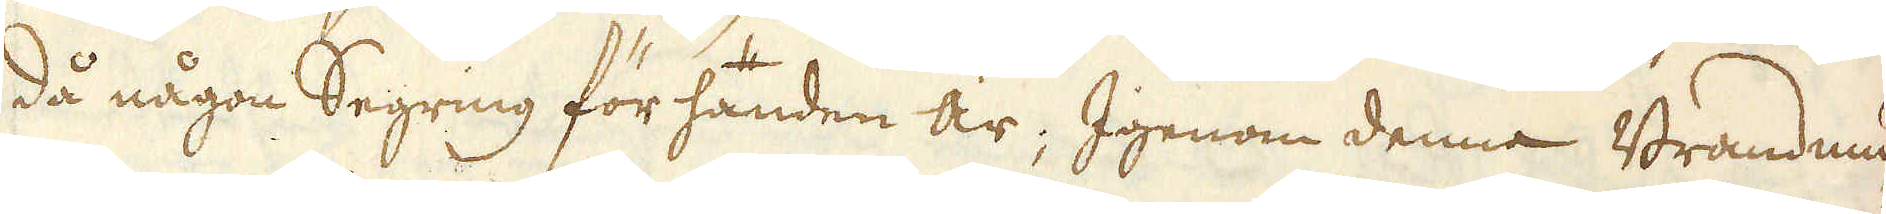då någon Segring för handen är; Igenom denna Brandmu-
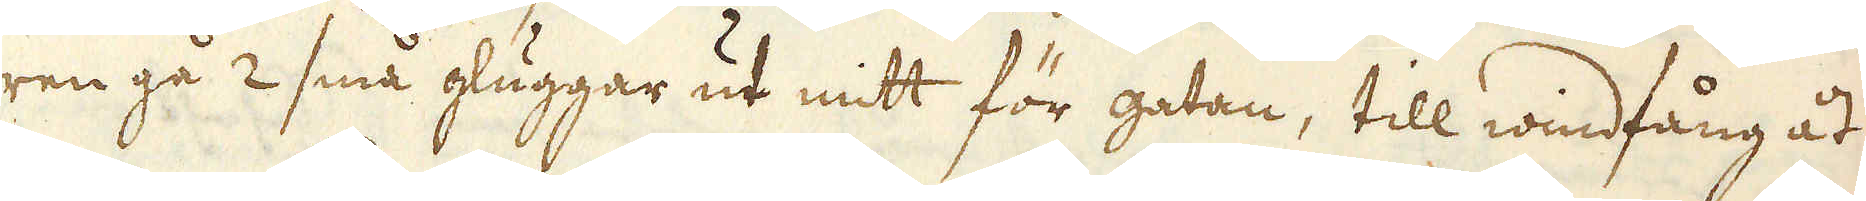ren gå 2 små gluggar ut mitt för gatan, till windfång åt
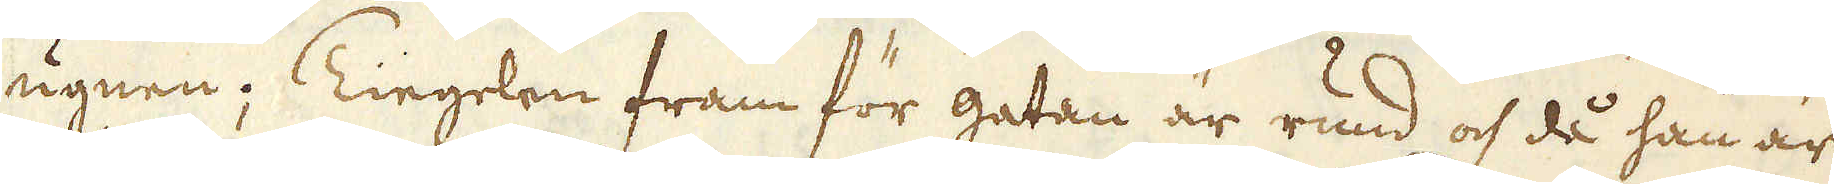ugnen; Tiegelen fram för gatan är rund och då han är
